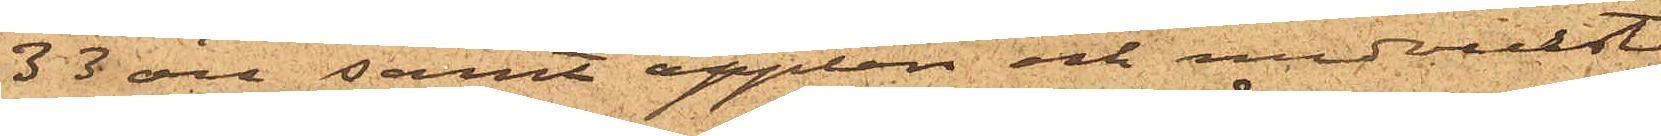33 öre samt äpplen och medwurst
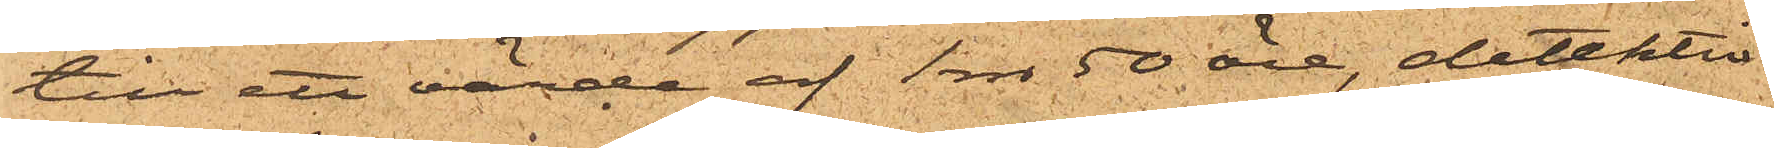till ett värde af 1 rdr 50 öre, detektiv¬
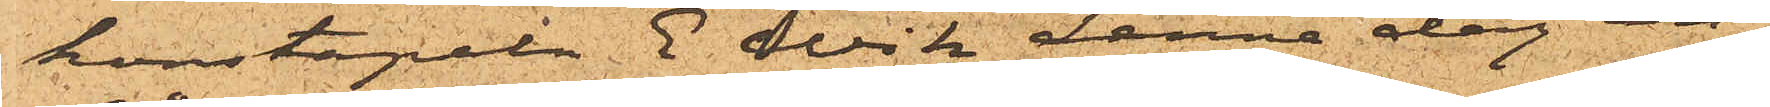konstapeln E. Wik denna dag an¬
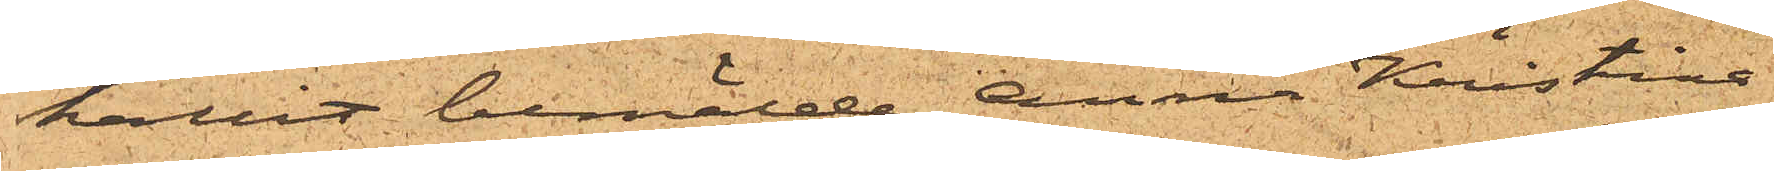hållit bemälde Anna Kristina
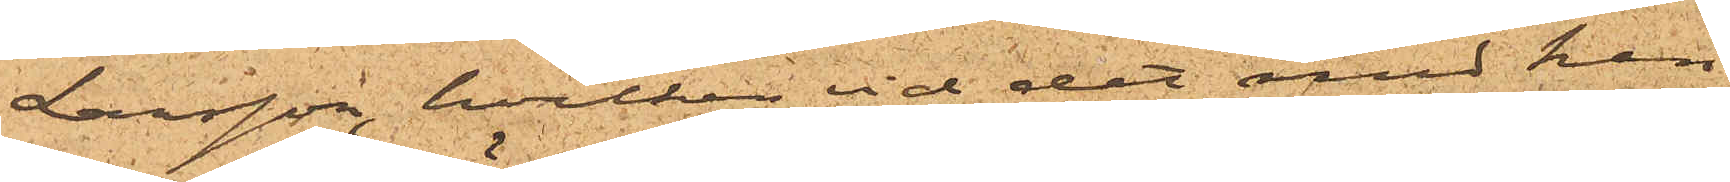Larsson, hvilken vid det med hen¬
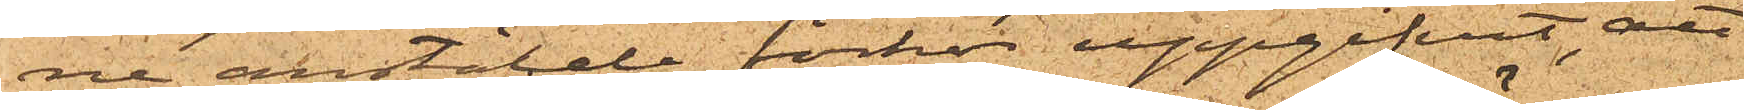ne anstälde förhör uppgifvit, att
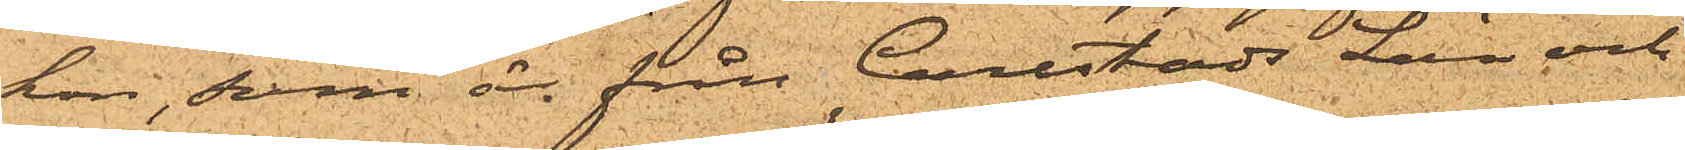hon, som är från Carlstads Län och
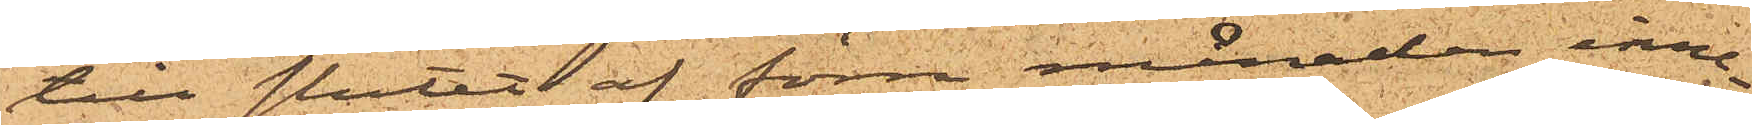till slutet af förra månaden inne¬
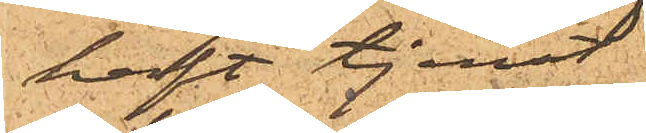haft tjenst
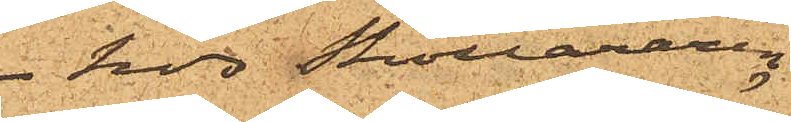hos Skolläraren
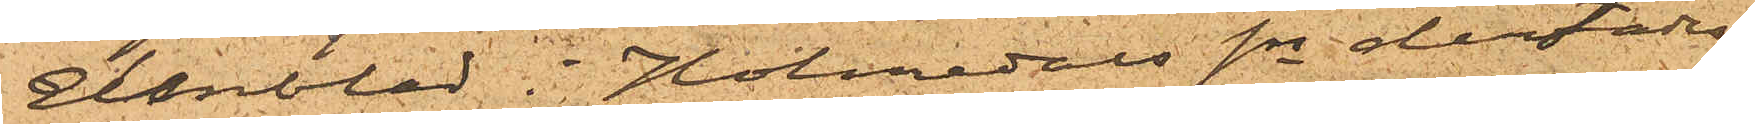Elmblad i Holmedals sn derstädes,
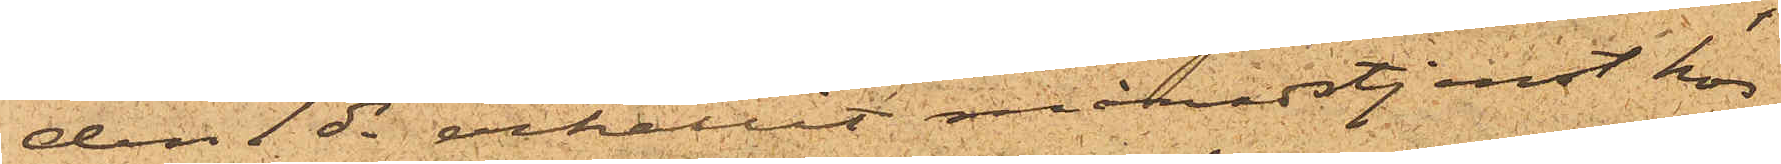den 1 ds erhållit månadstjenst hos
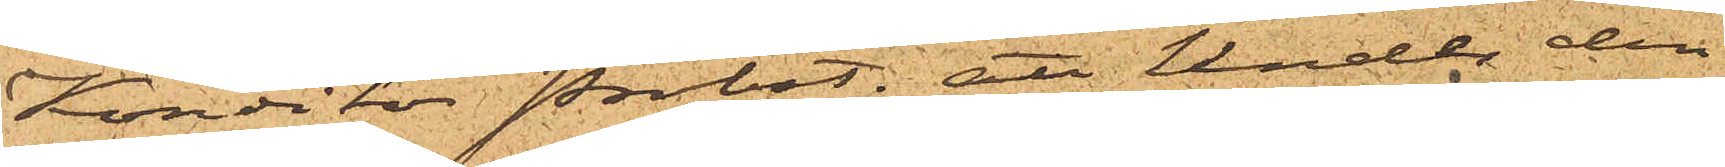Konditor Probst; att under den
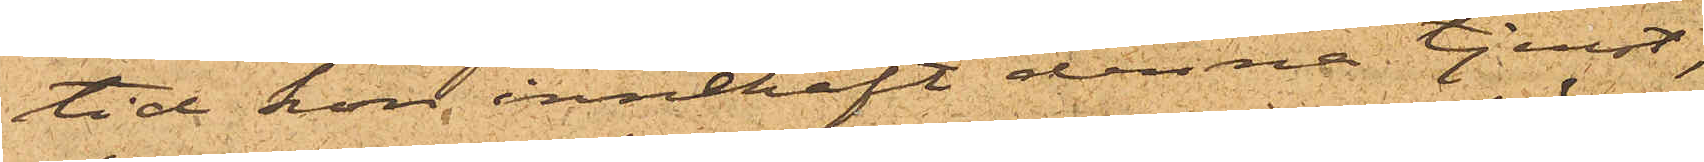tid hon  innehaft denna tjenst,
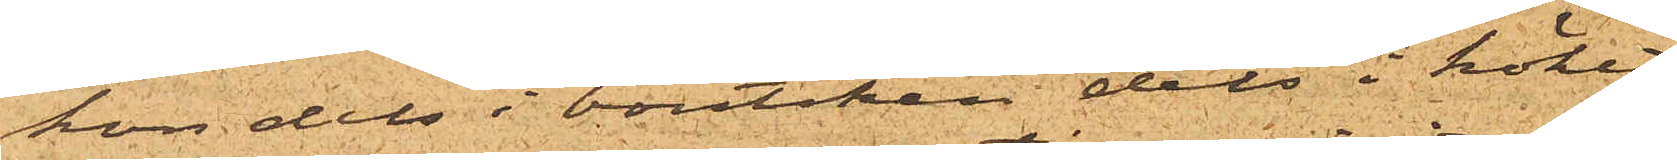hon dels i boutiken dels i köket
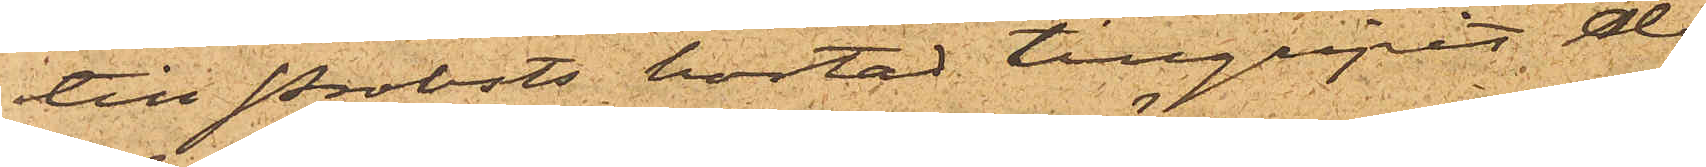till Probsts bostad tillgripit de
